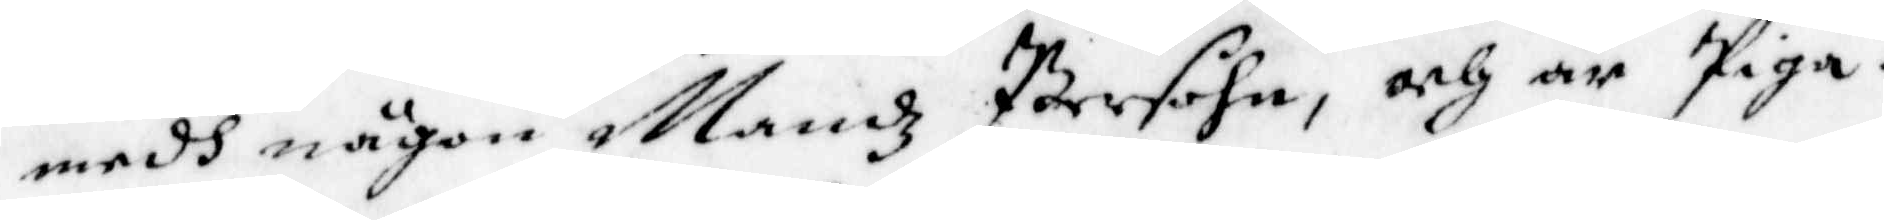medh någon Mandz Persohn, och är Piga.
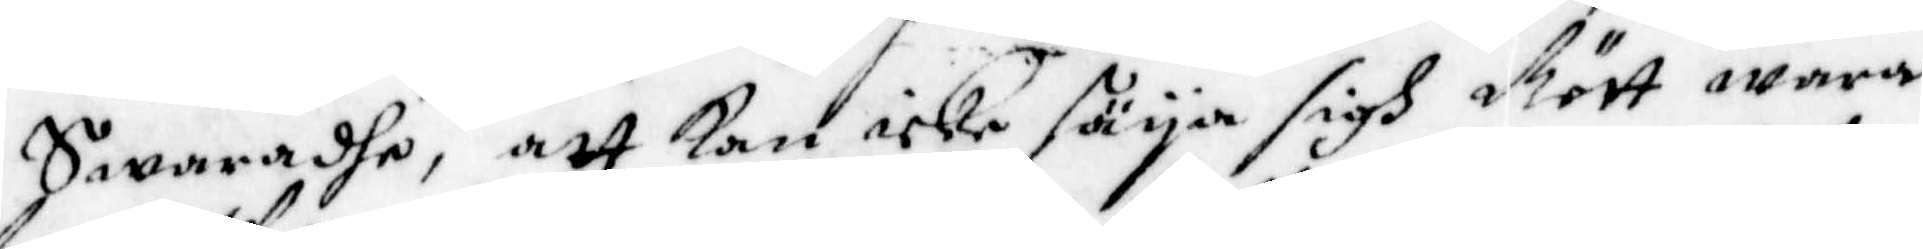Swaradhe, att Kan icke säya sigh Rärt wara
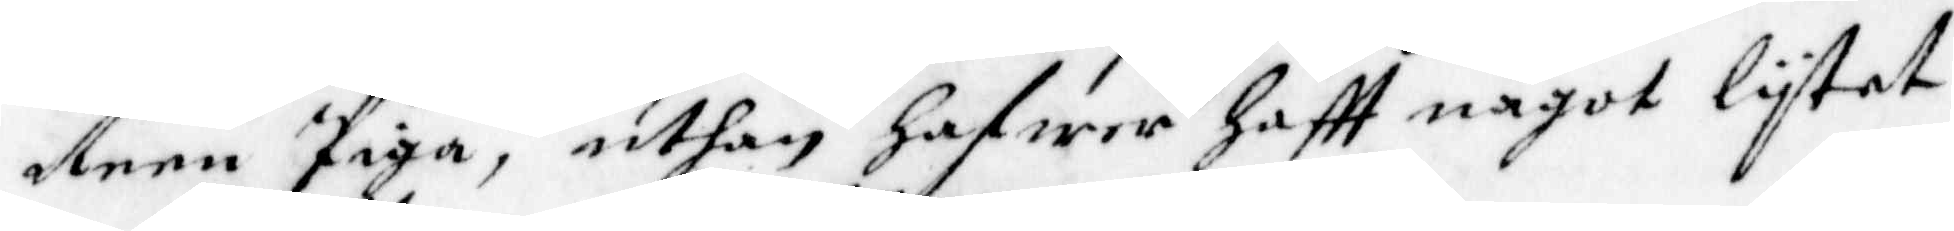deen Piga, uthan hafwer haftt något lytet
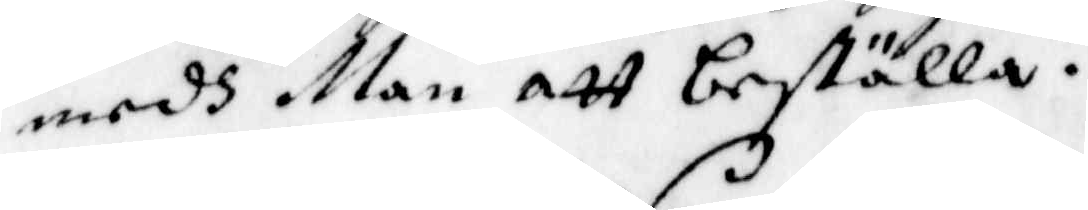medh Man att beställa.
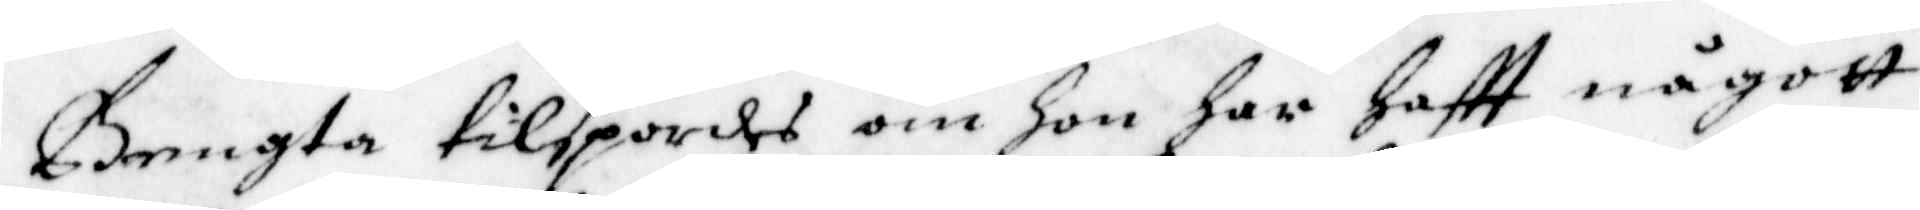Bengta tilspordes om hon har Haftt någott
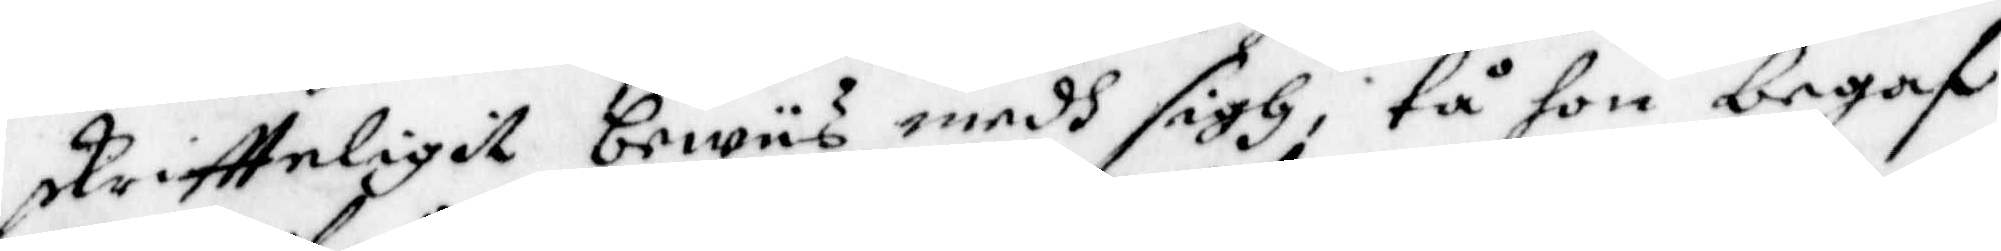skriftteligit bewiis medh sigh, tå hon begaf
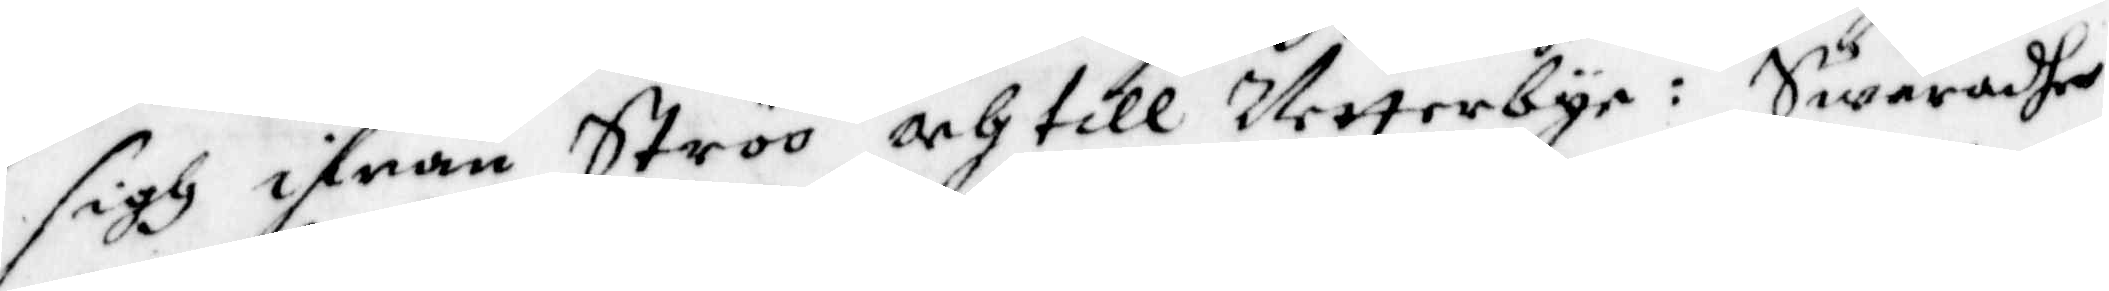sigh ifrån Ströö och till Vetterbye: Swaradhe
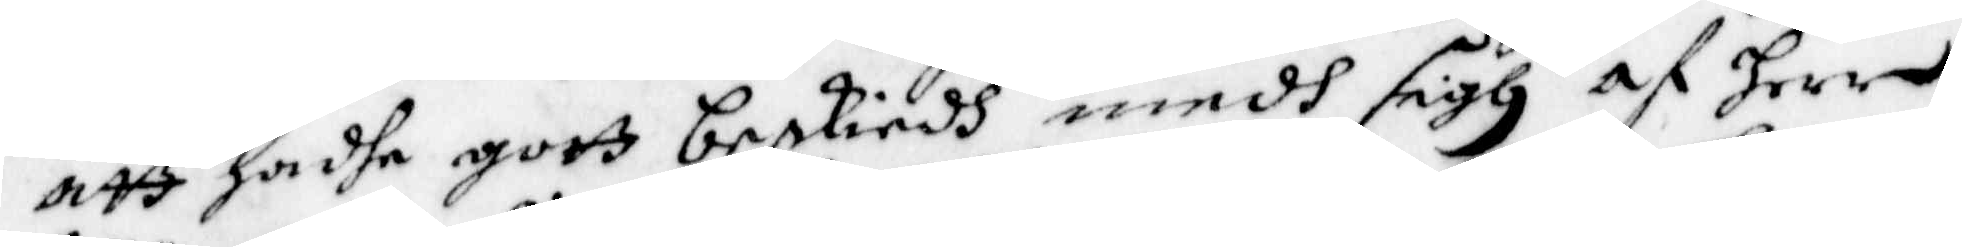att hadhe gott beskiedh medh sigh af Herr
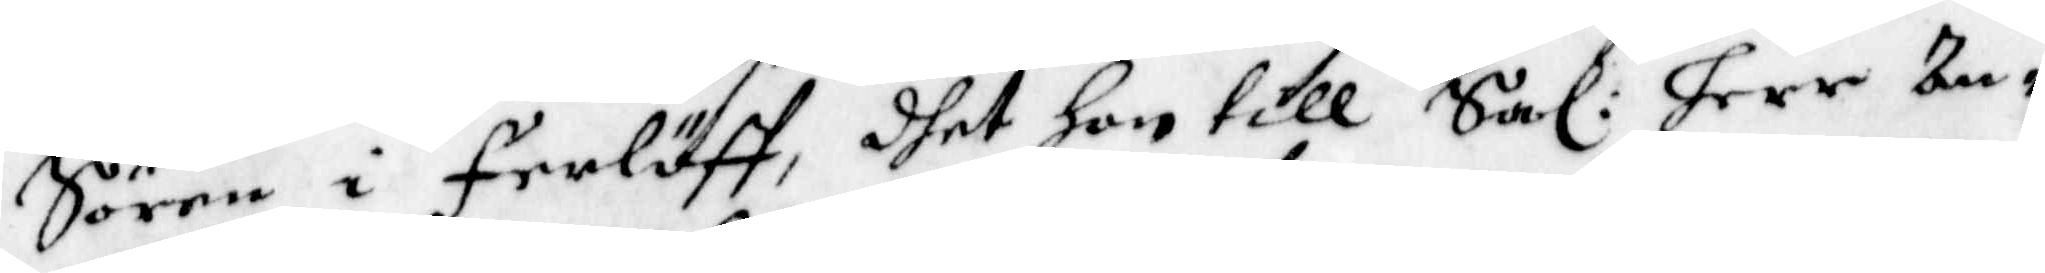Sören i Ferlöff, dhet hon till Sal: Herr An¬
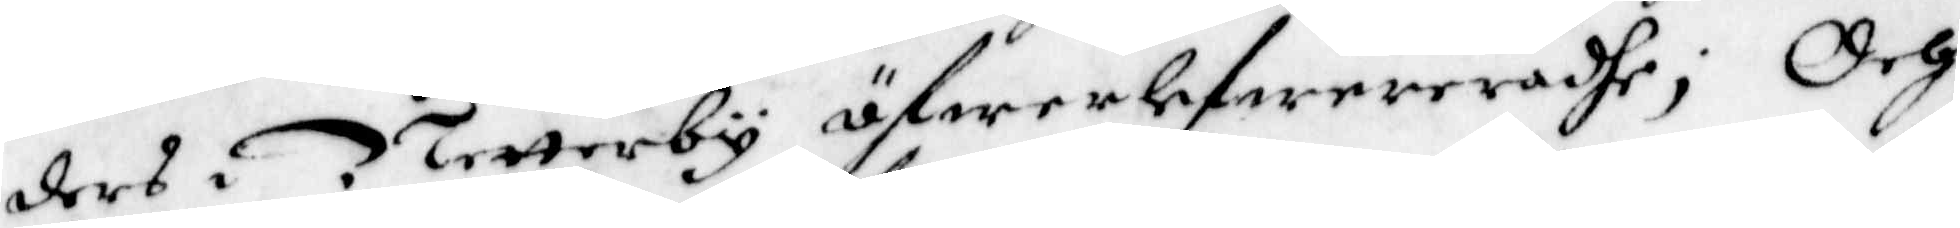ders i Netterby öfwerlefwereradhe; Och
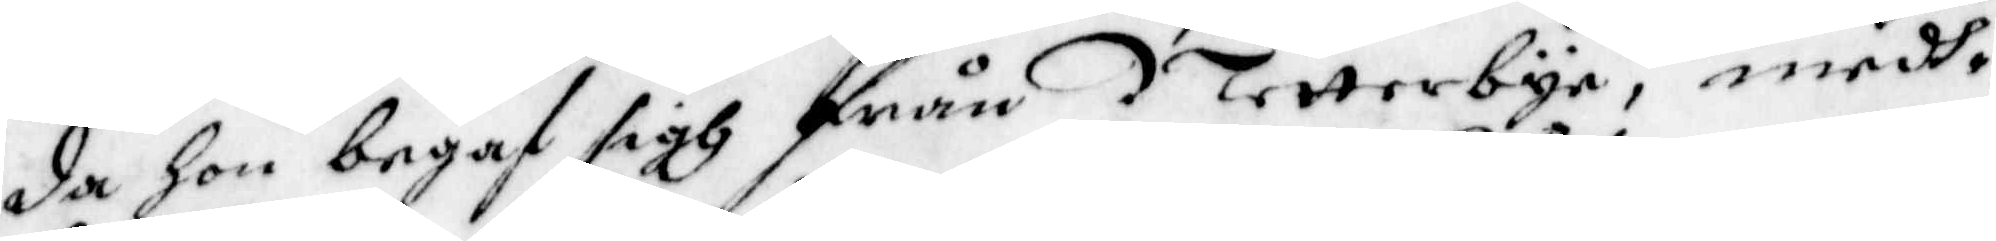da hon begaf sigh från Netterbyr, medh¬
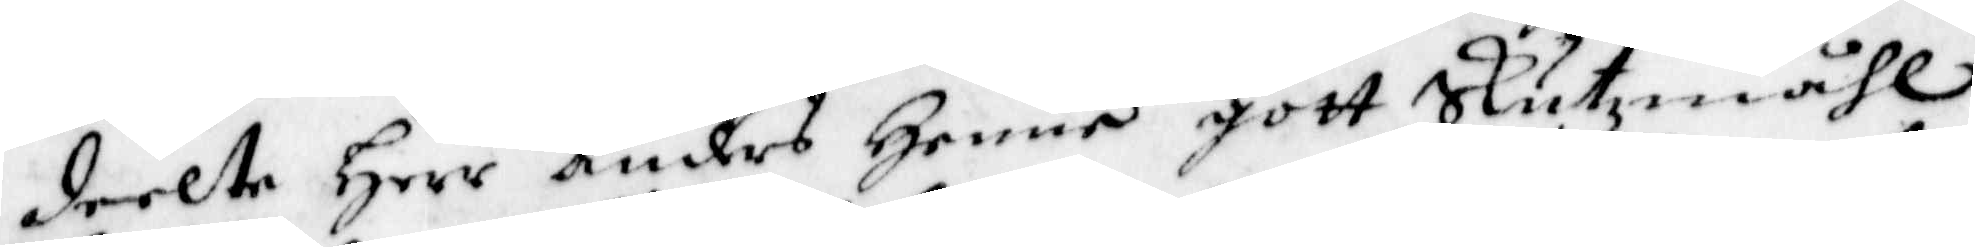deelte Herr Anders Henne gott Slutzmåhl
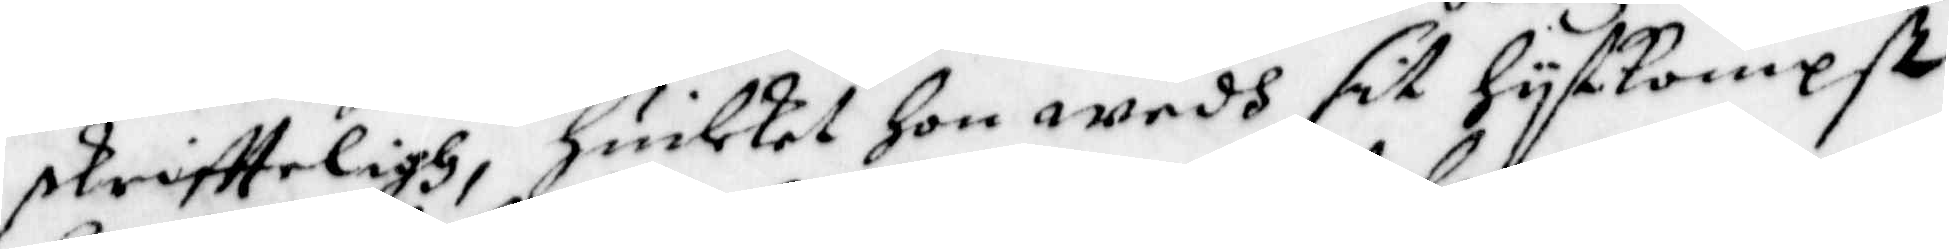skriffteligh, huilket Hon wedh sit hytkommst
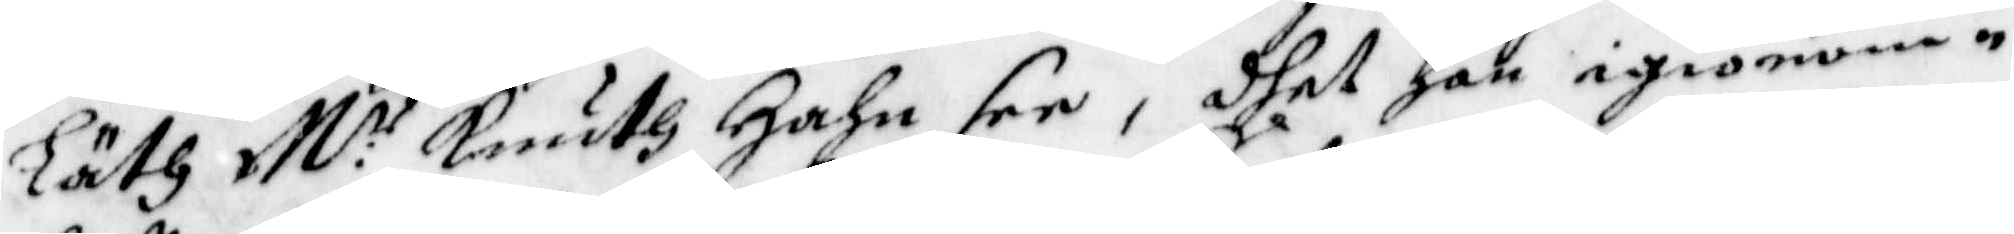Läth M:r Knuth Hahn see, dhet han igiönom¬
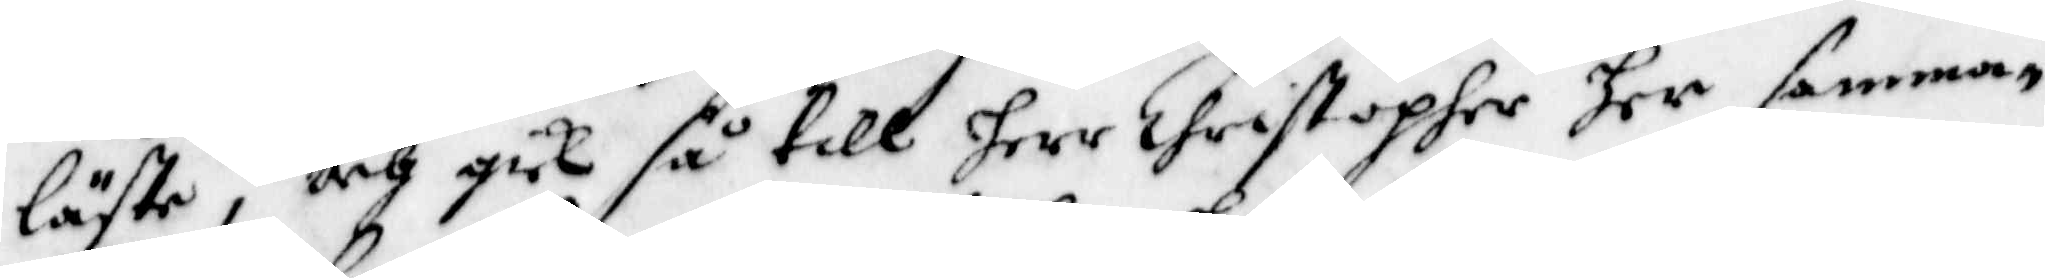läste, och gick så till herr Christopher her samma¬
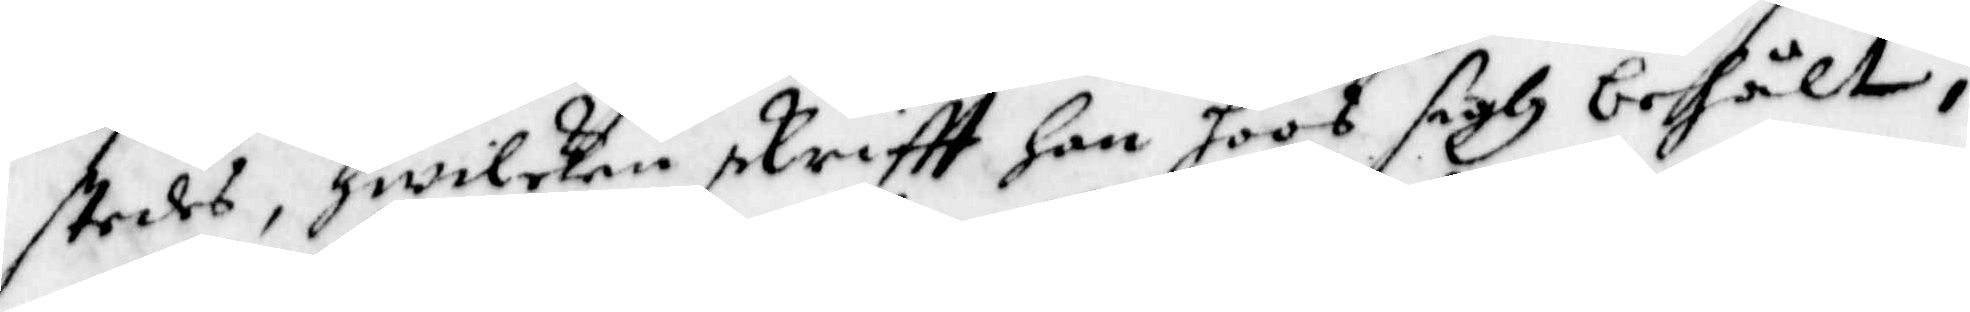stedes, hwilken skriftt Han hoos sigh behålt;
